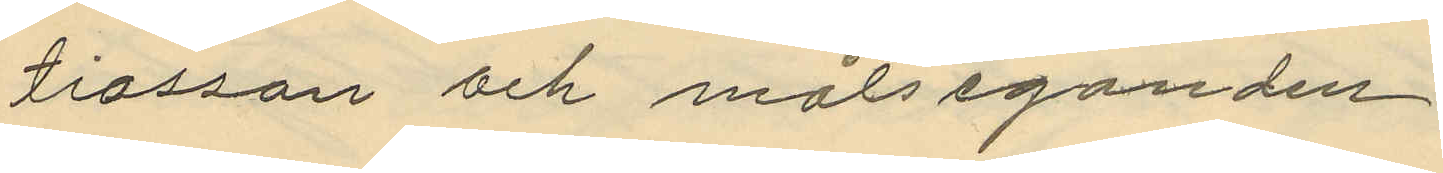tiasson och målseganden;
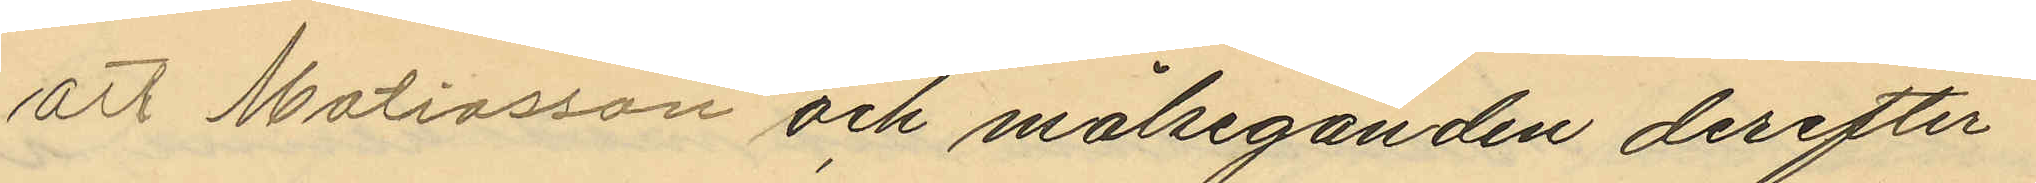Att Mattiasson och målseganden derefter
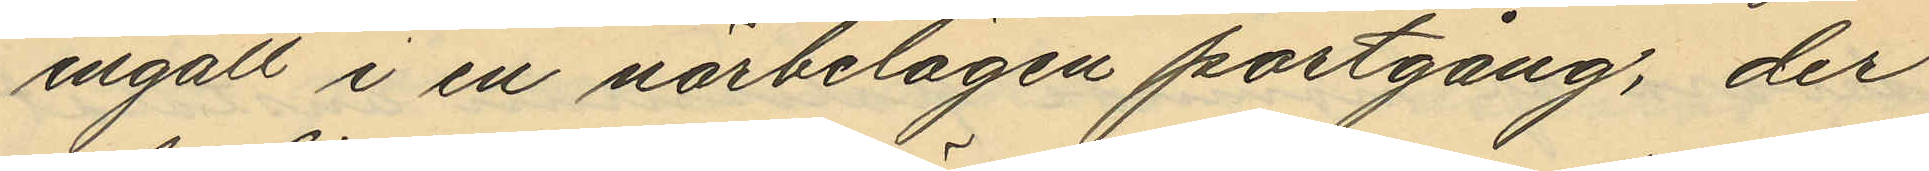ingått i en närbelägen portgång, der
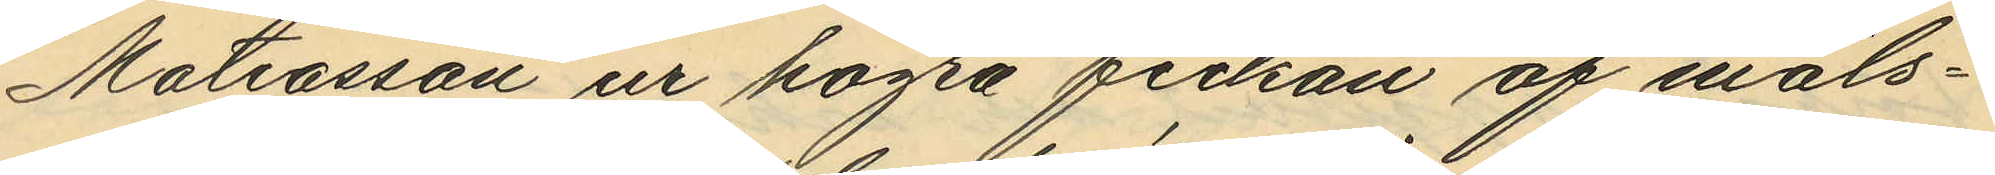Mattiasson ur högra fickan af måls¬
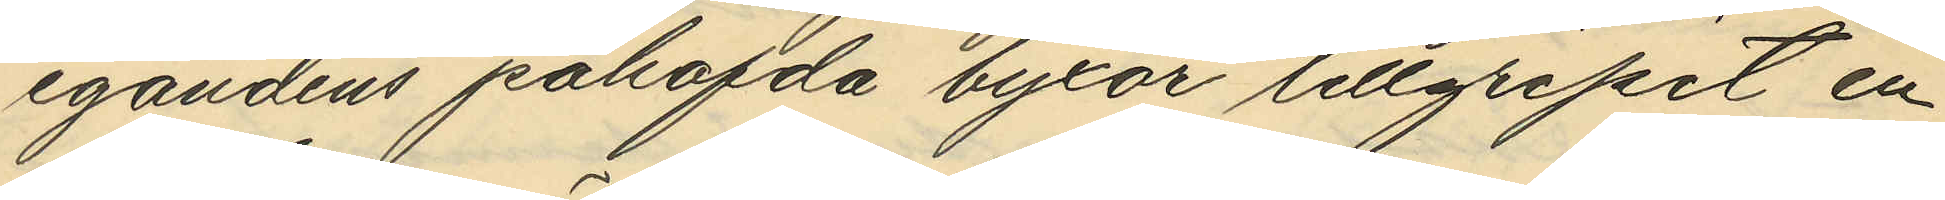egandens påhafda byxor tillgripit en
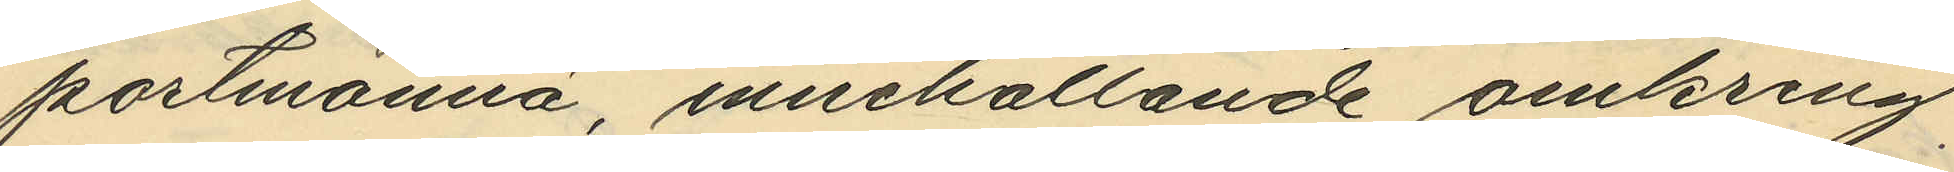portmonnä, innehållande omkring
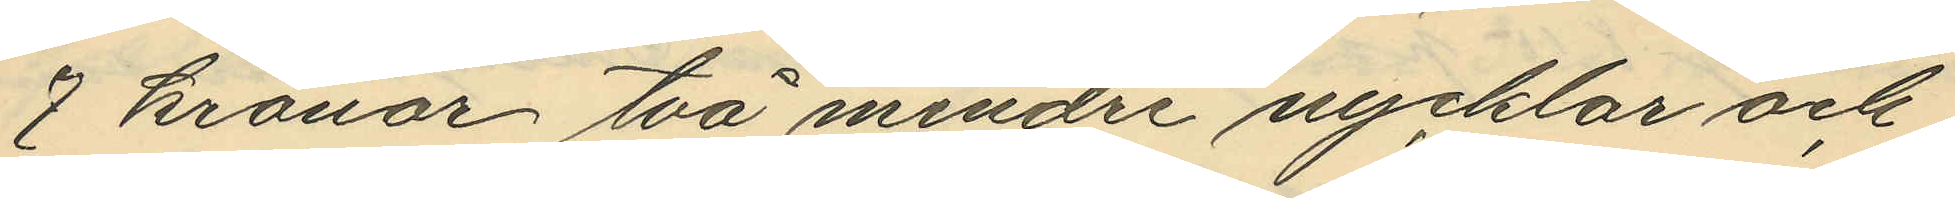7 kronor två mindre nycklar och
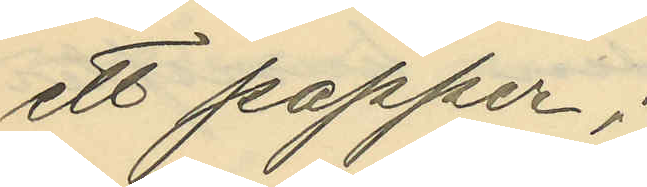ett papper;
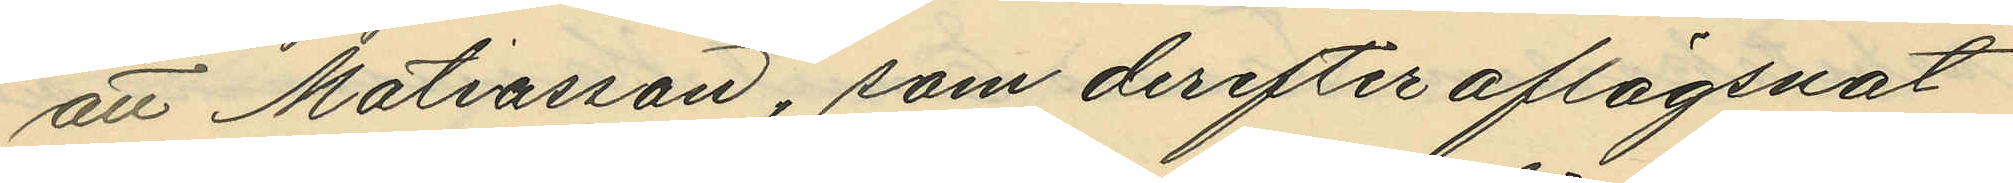att Mattiasson, som derefter aflägsnat
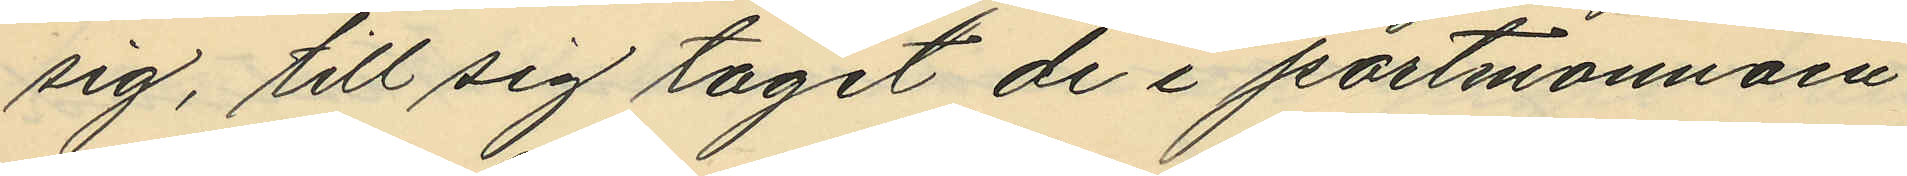sig, till sig tagit de i portmonnäen
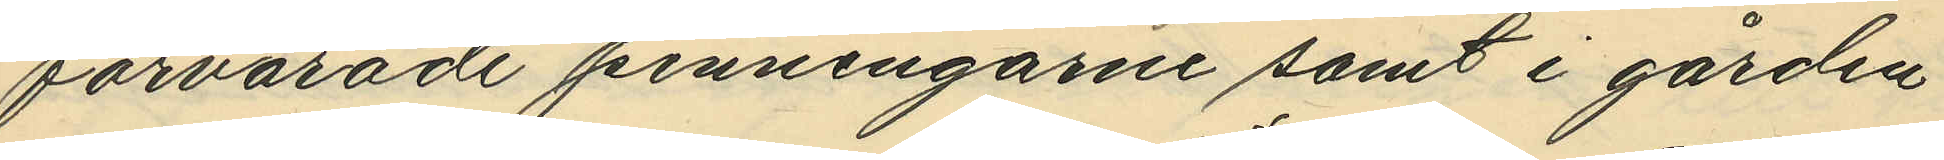förvarade penningarne samt i gården
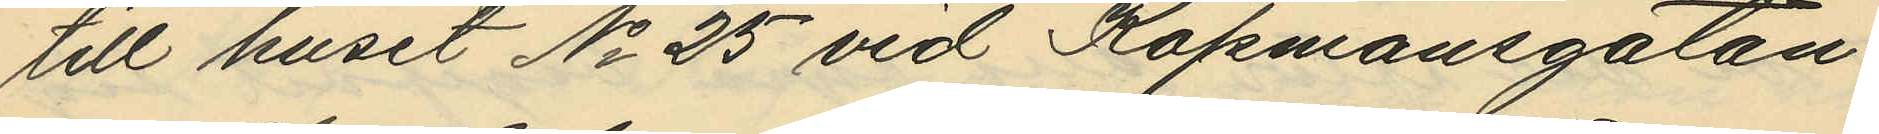till huset No 25 vid Köpmansgatan
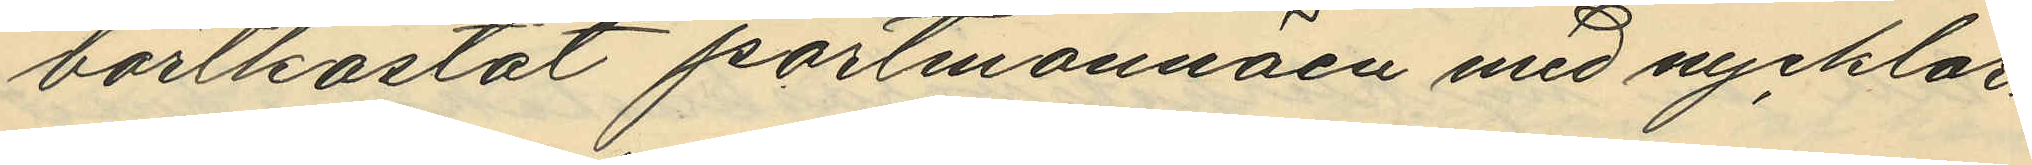bortkastat portmonnäen med nycklar¬
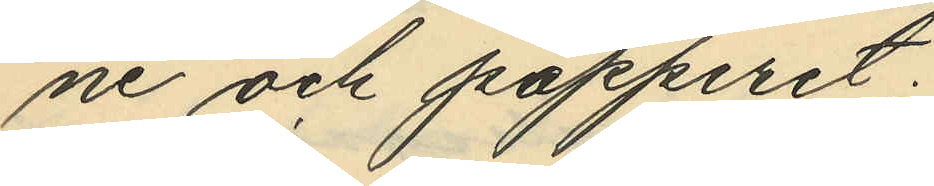ne och papperet;
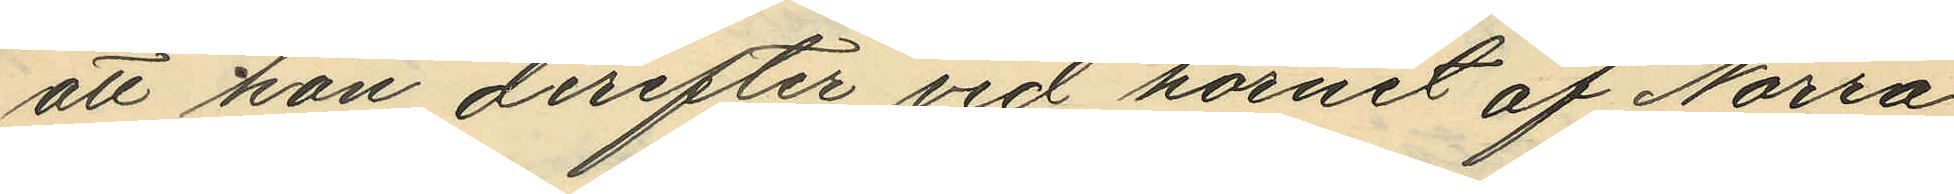att hon derefter vid hörnet af Norra
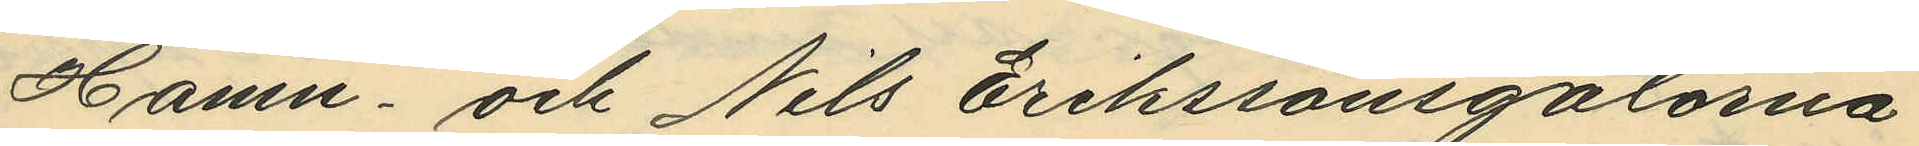Hamn- och Nils Erikssonsgatorna
